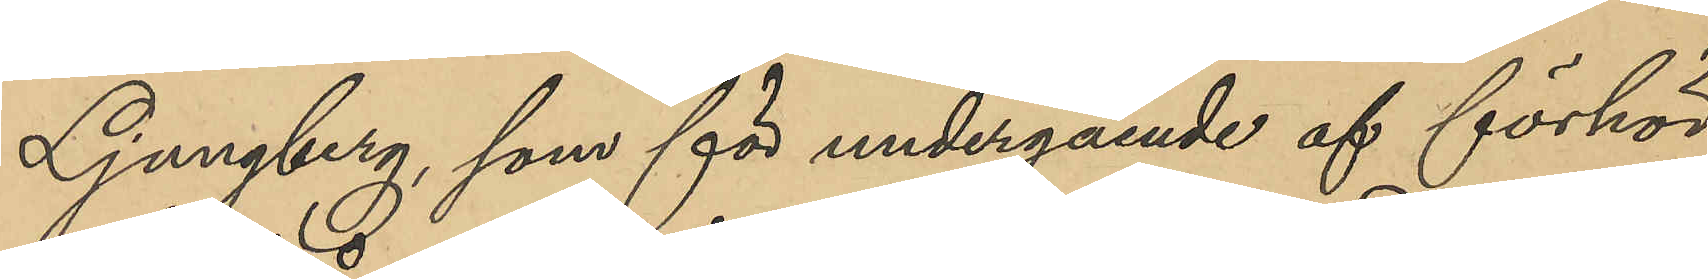Ljungberg, som för undergående af förhör
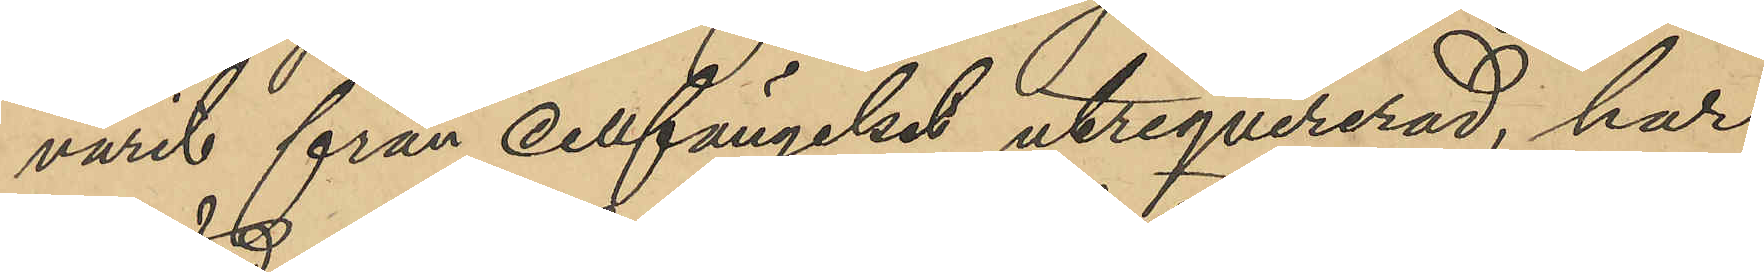varit från cellfängelset utreqvirerad, har
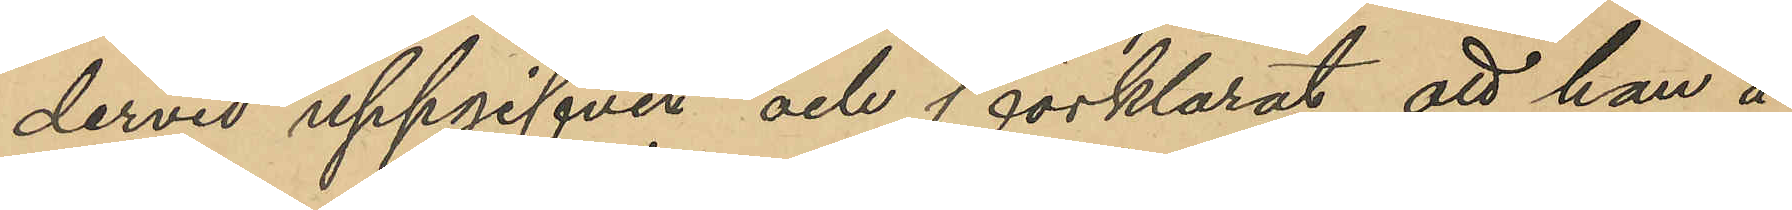dervid uppgifvit och förklarat, att han å
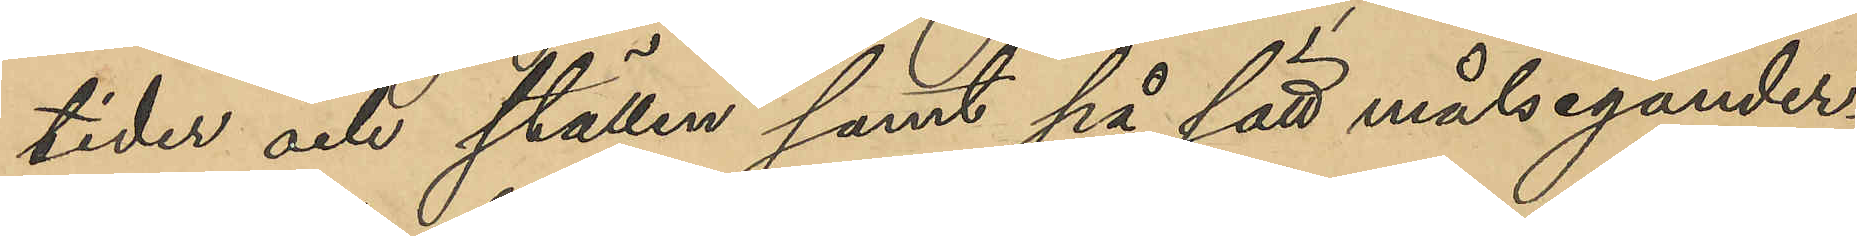tider och ställen samt på sätt målsegander¬
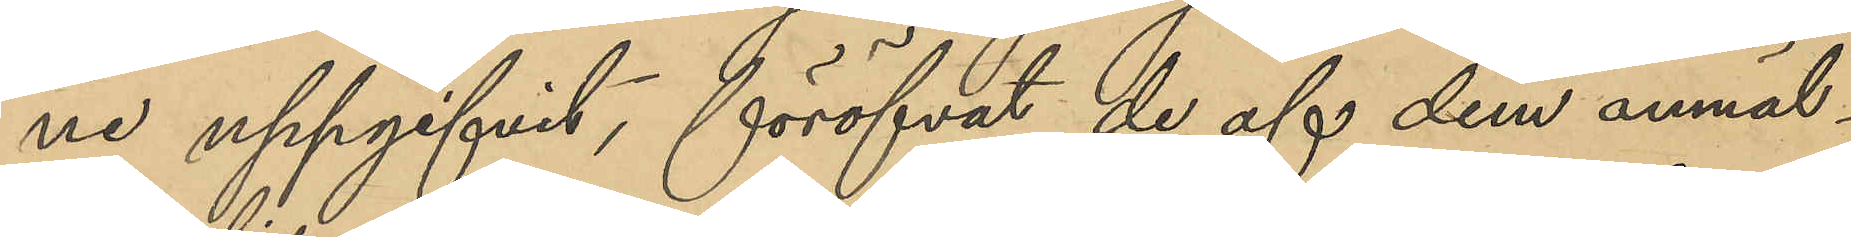ne uppgifvit, föröfvat de af dem anmäl¬
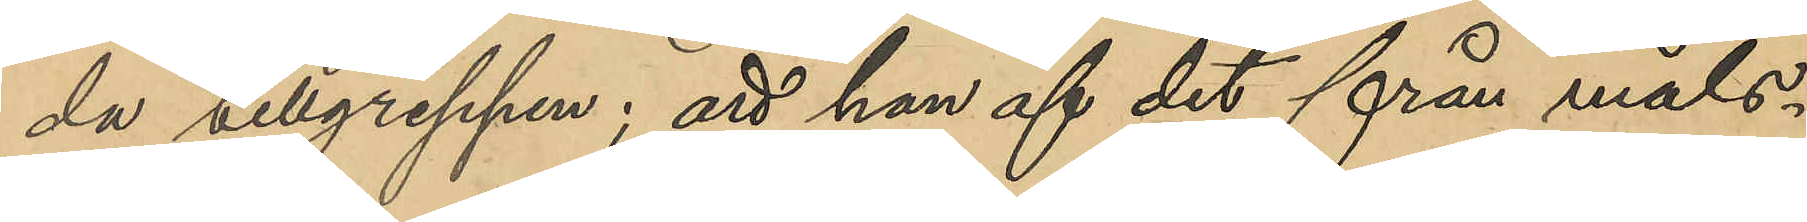da tillgreppen; att han af det från måls¬
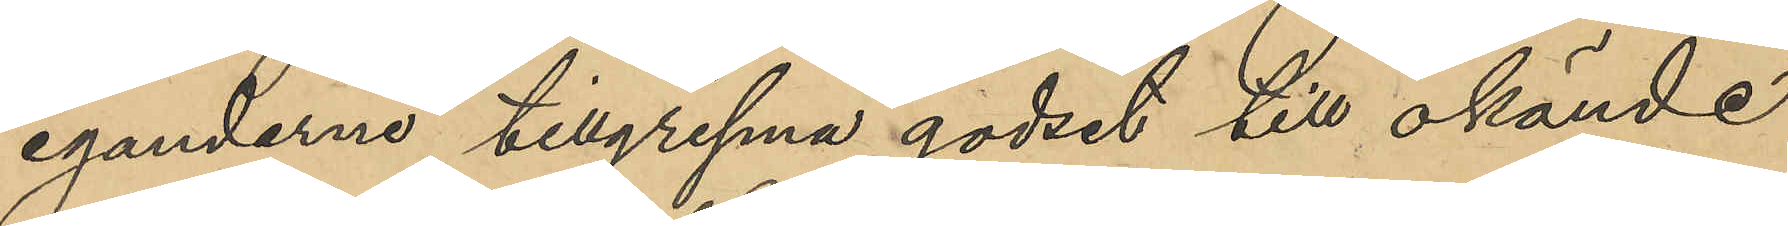eganderna tillgripna godset till okände
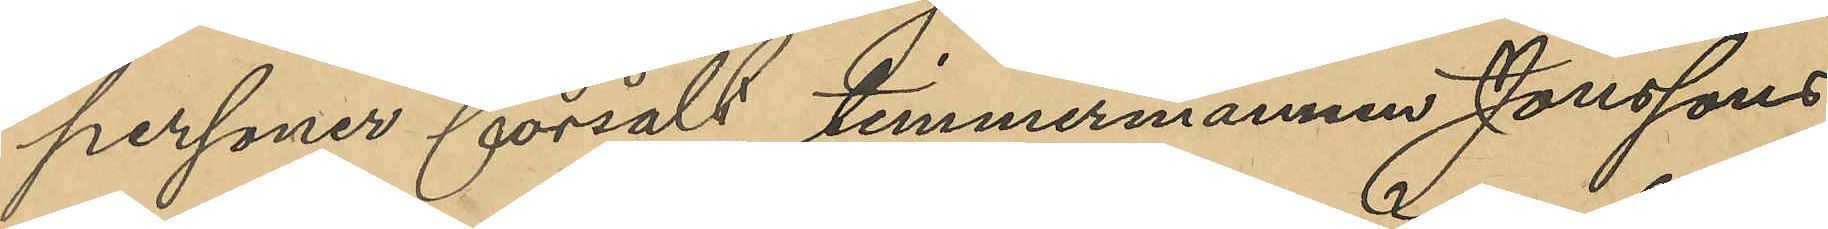personer försålt timmermannen Janssons
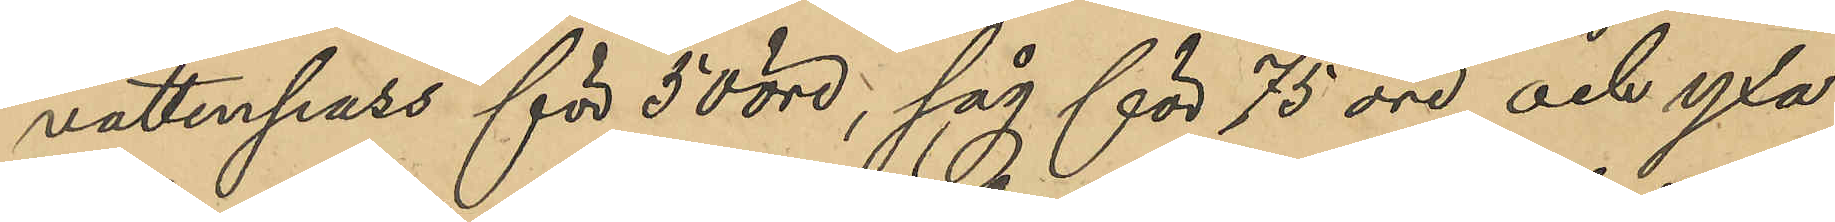vattenpass för 50 öre, såg för 75 öre och yxa
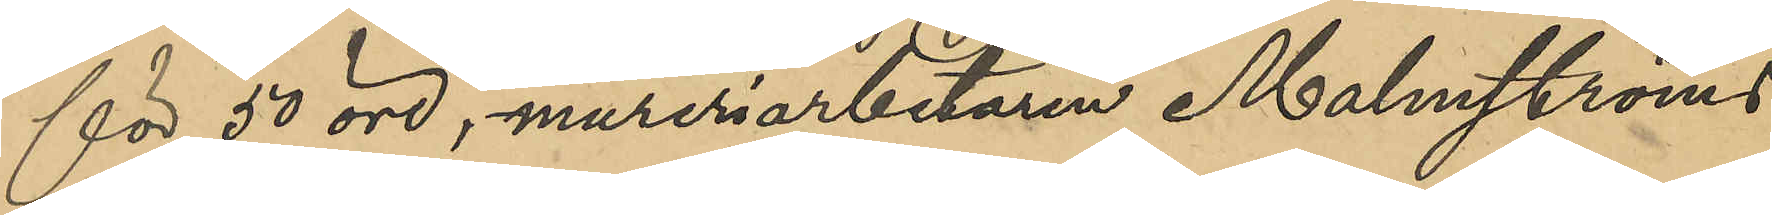för 50 öre, mureriarbetaren Malmströms
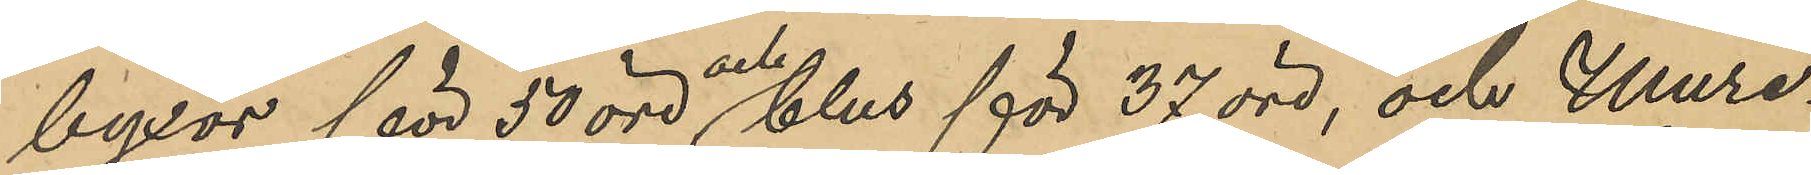byxor för 50 öre och blus för 37 öre, och Mure¬
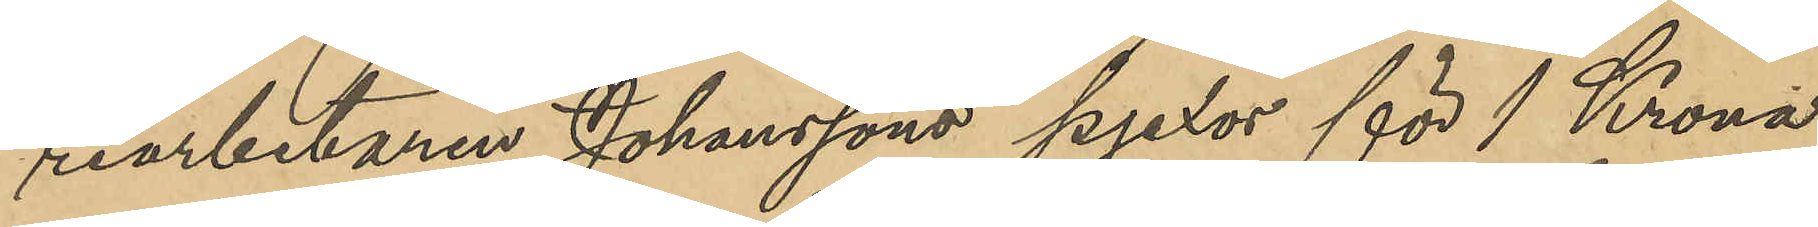riarbetaren Johanssons pjexor för 1 Krona
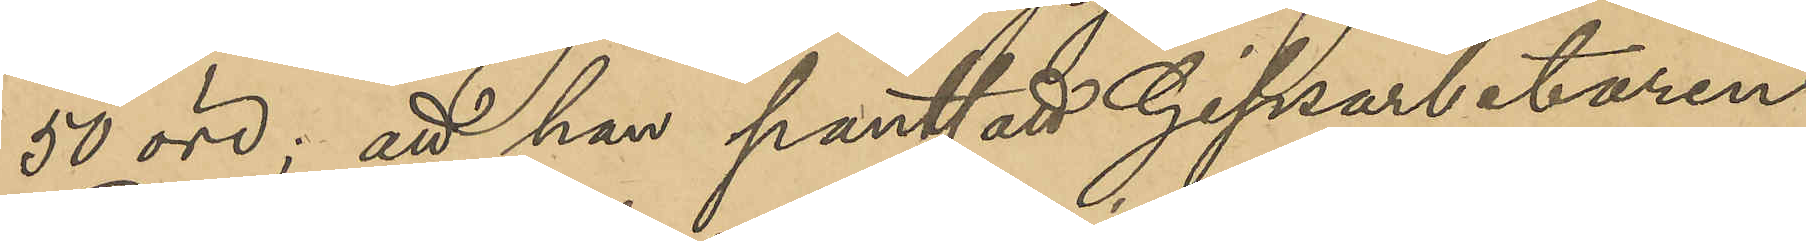50 öre; att han pantsatt Gipsarbetaren
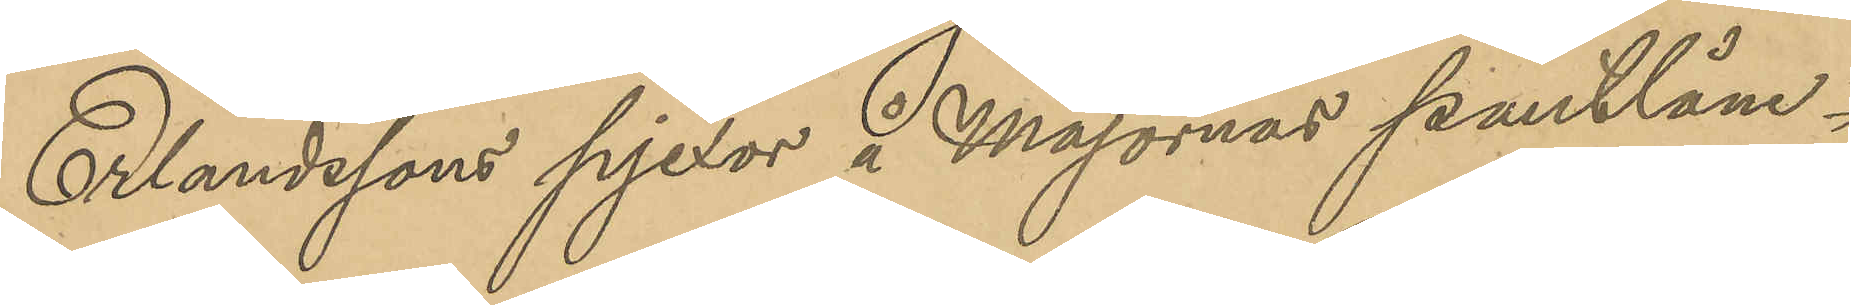Erlandssons pjexor i Majornas pantlåne¬
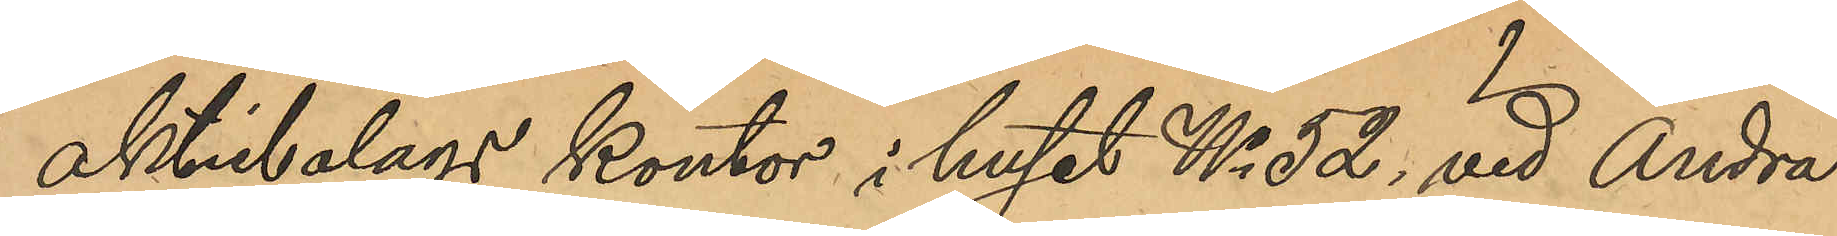aktiebolags kontor i huset No 52, vid Andra
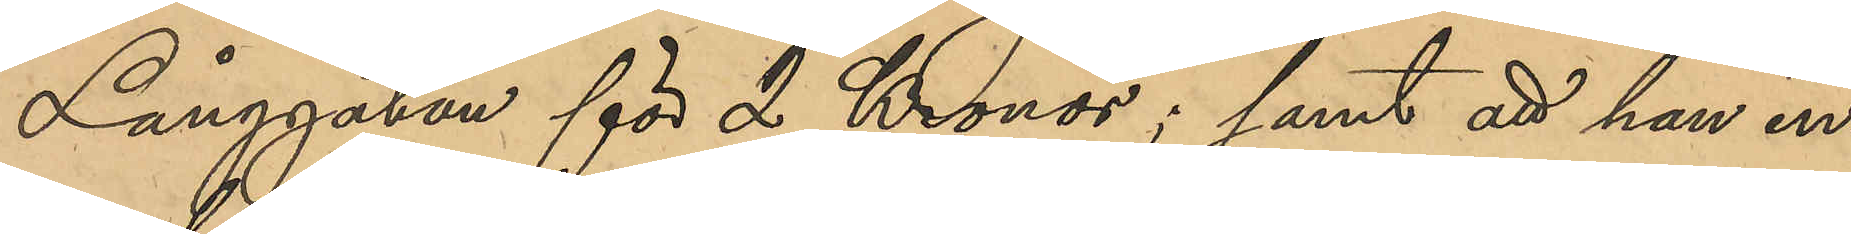Långgatan för 2 Kronor; samt att han in¬
